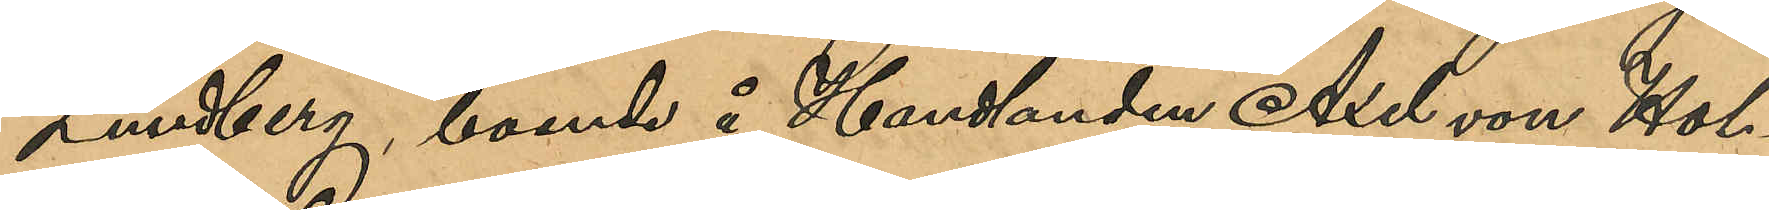Lundberg, boende å Handlanden Axel von Hol¬
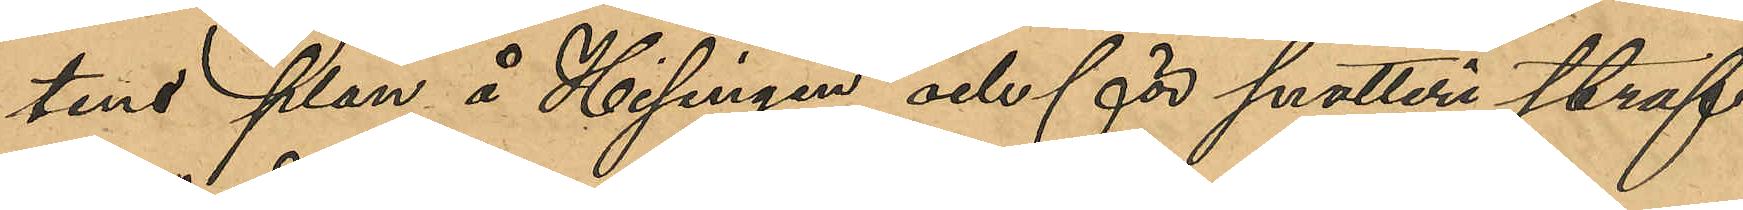tens Plan å Hisingen och för snatteri straf¬
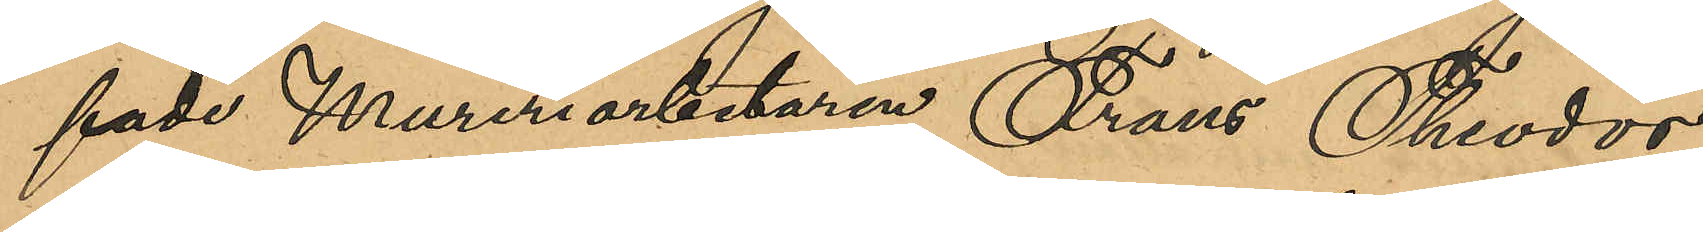fade Mureriarbetaren Frans Theodor
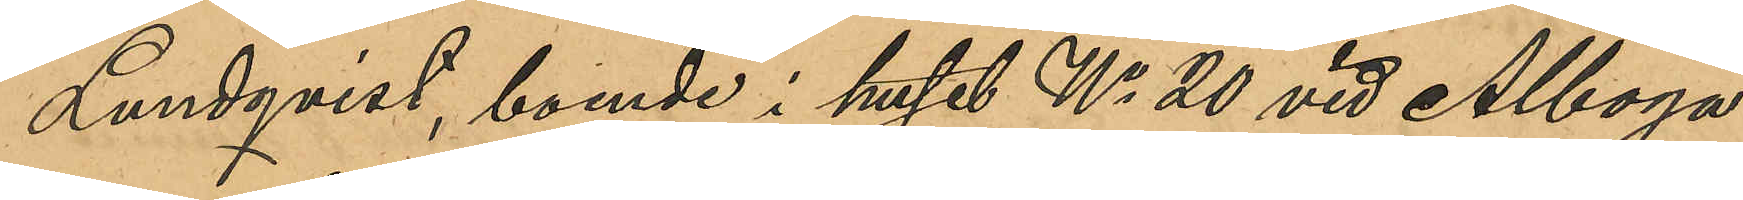Lundqvist, boende i huset No 20 vid Alboga¬
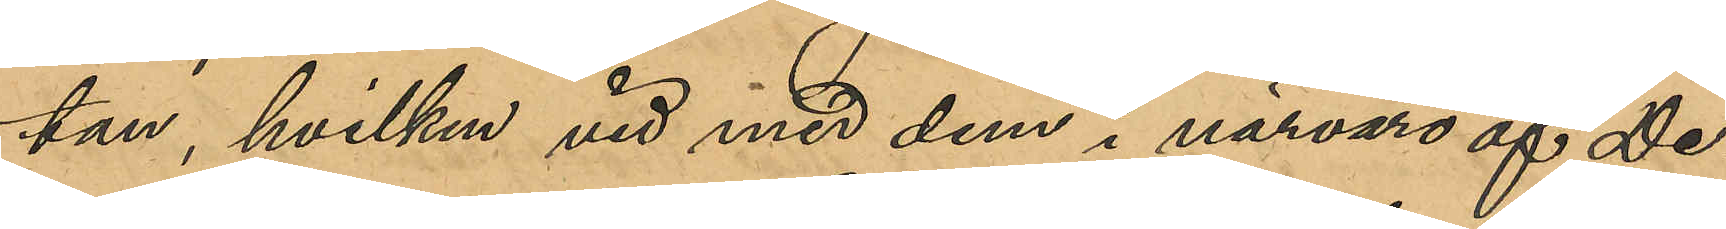tan, hvilken med dem i närvaro af De¬
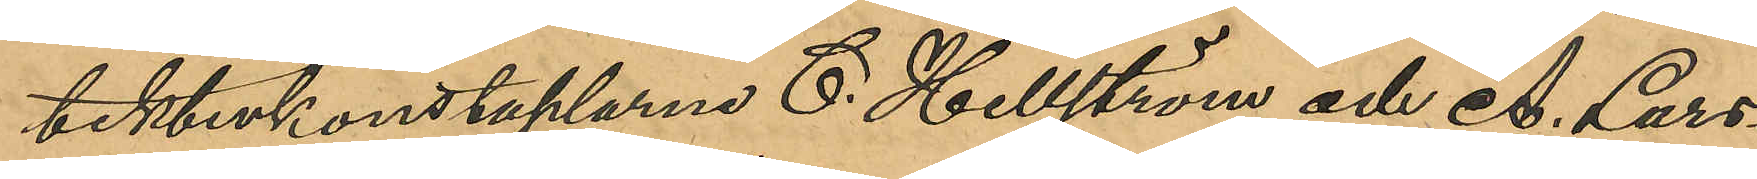tektivkonstaplarna C. Hellström och A.Lars¬
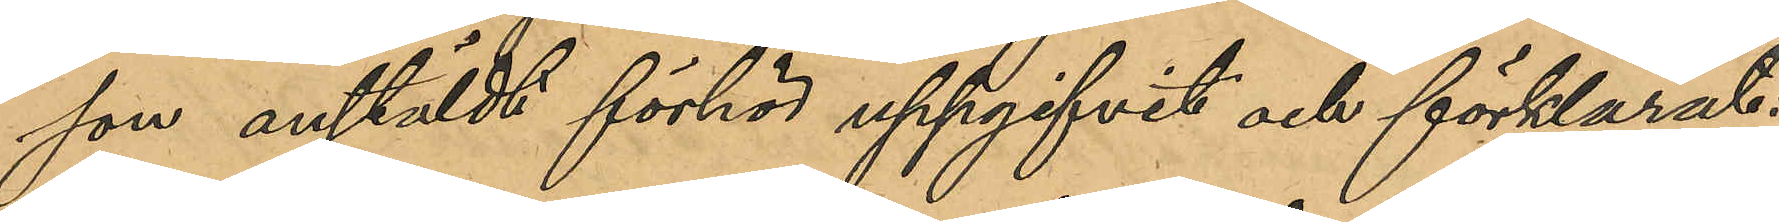son anstäldt förhör uppgifvit och förklarat:
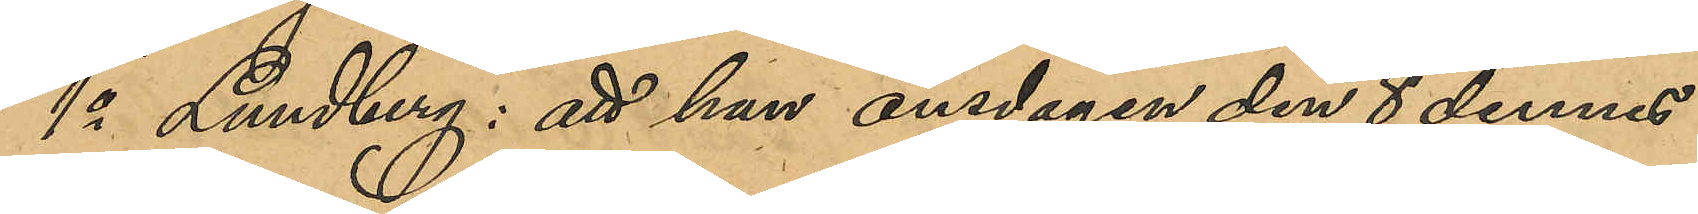1o Lundberg: att han onsdagen den 8 dennes
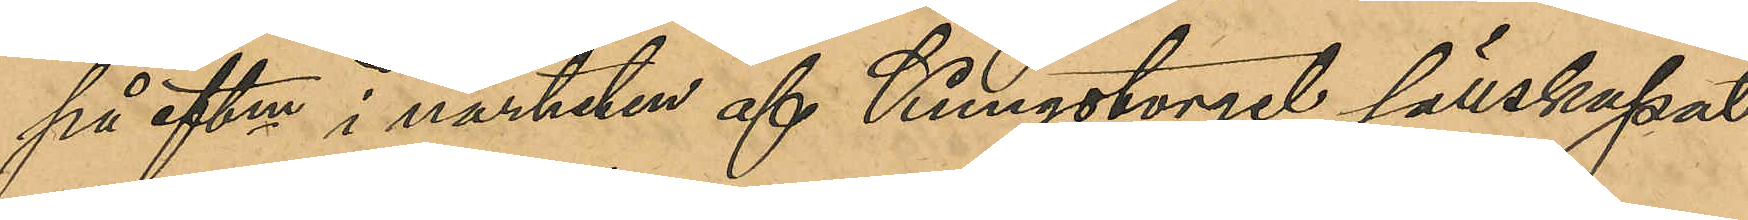på eftm i närheten af Kungstorget sällskapat
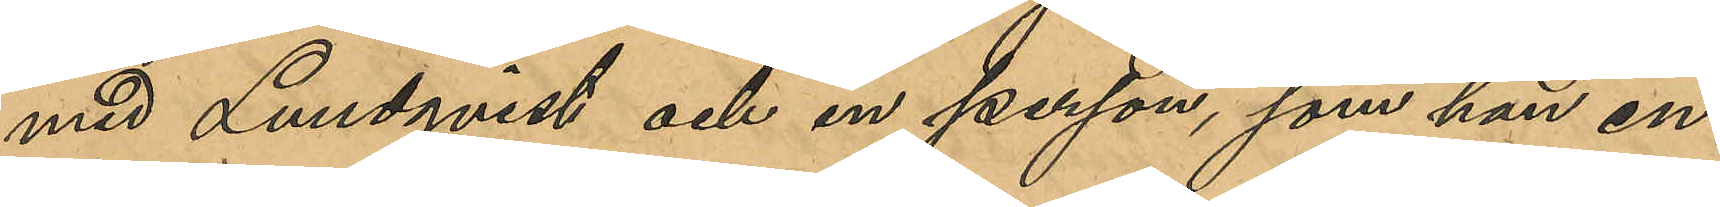med Lundqvist och en person, som han en¬
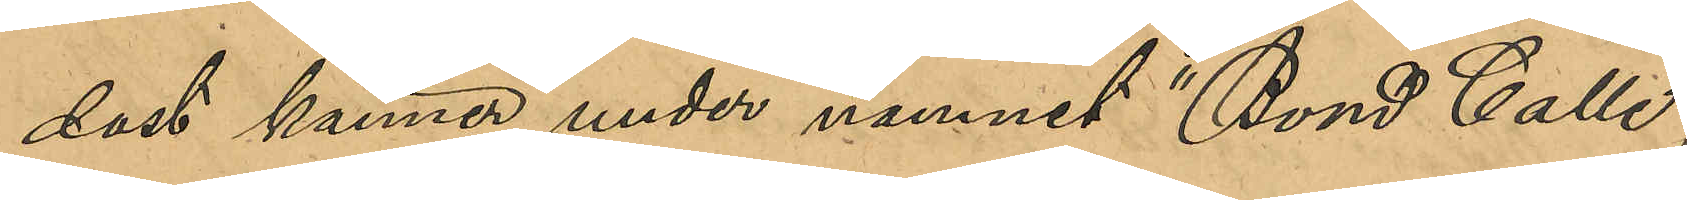dast känner under namnet "Bond Calle";
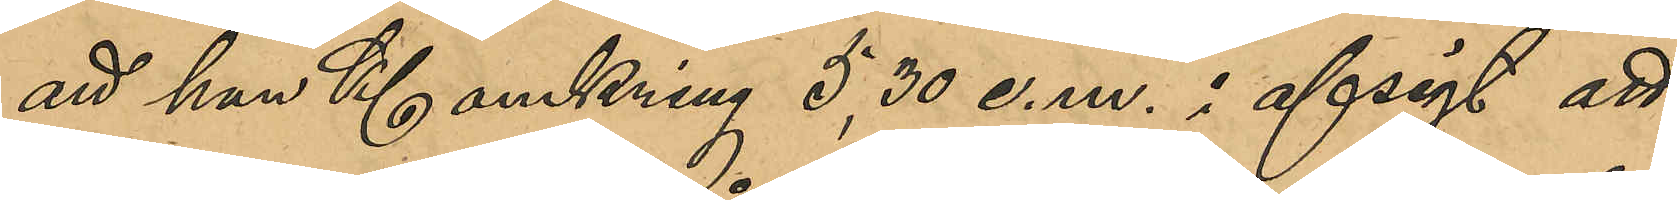att han Kl omkring 5,30 e.m. i afsigt att
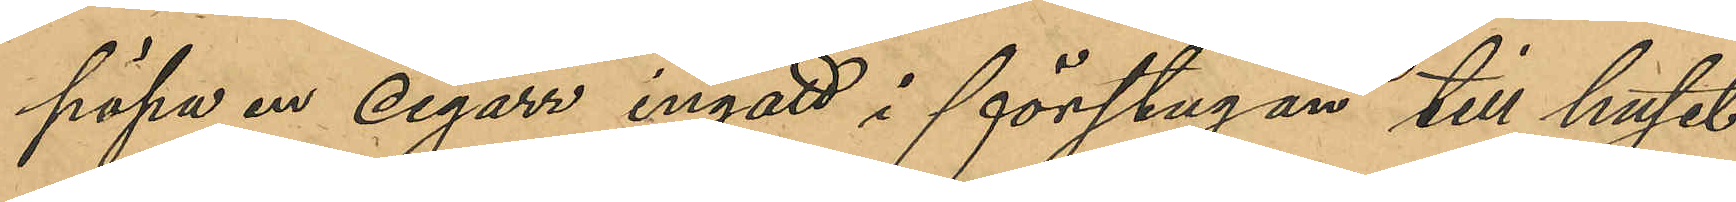köpa en cigarr ingått i förstugan till huset
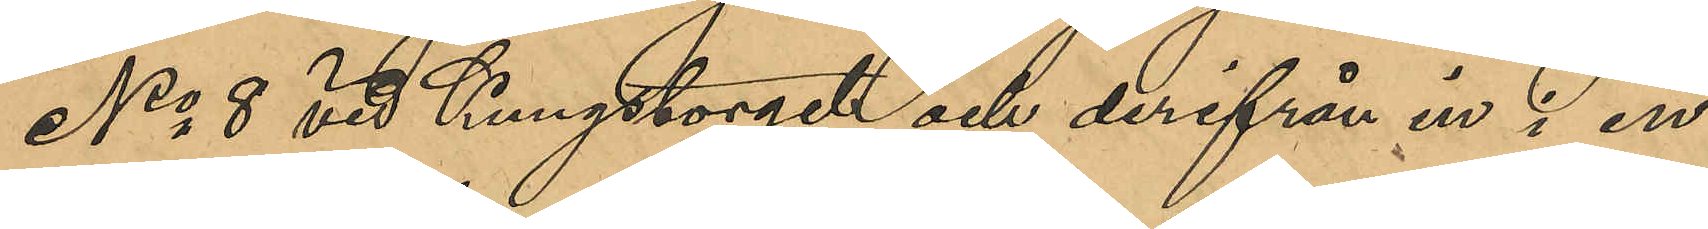No 8 vid Kungstorget och derifrån in i en
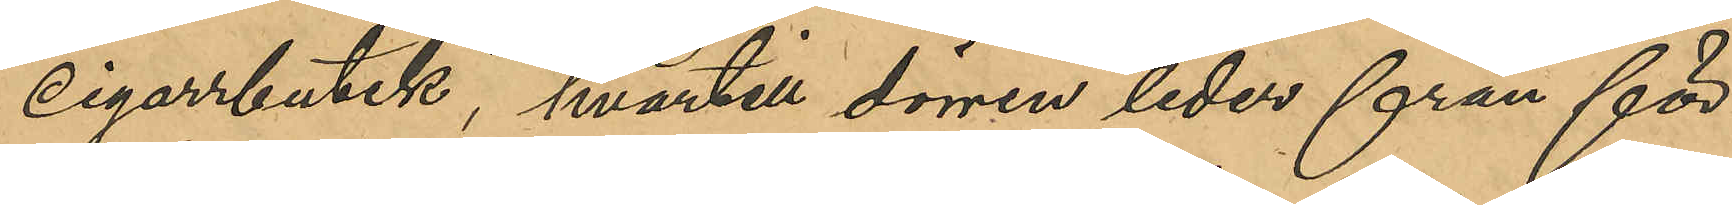Cigarrbutik, hvartill dörren leder från för¬
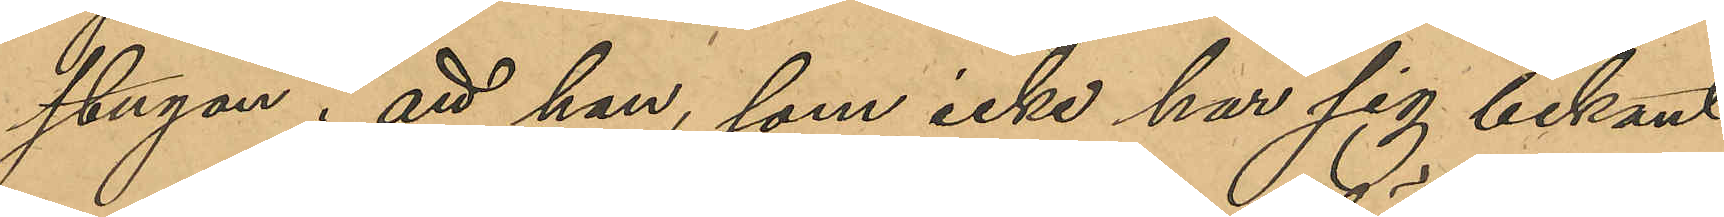stugan; att han som icke har sig bekant
